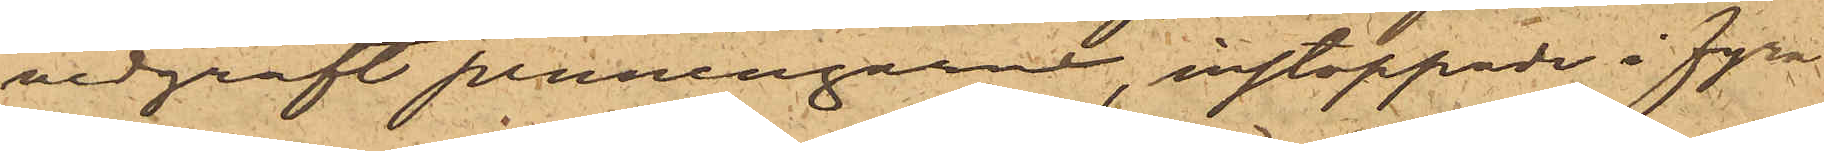nedgräft penningarne, instoppade i fyra
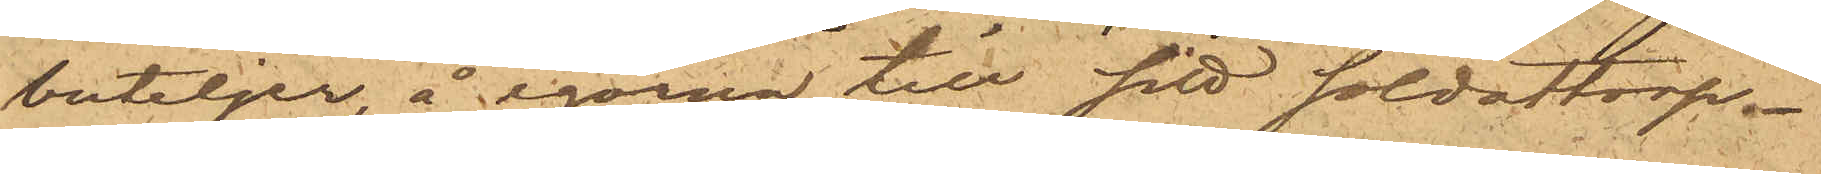buteljer, å egorna till sitt soldattorp.
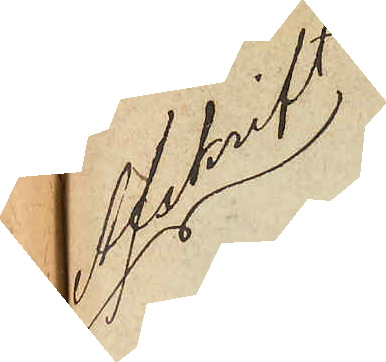Afskrift
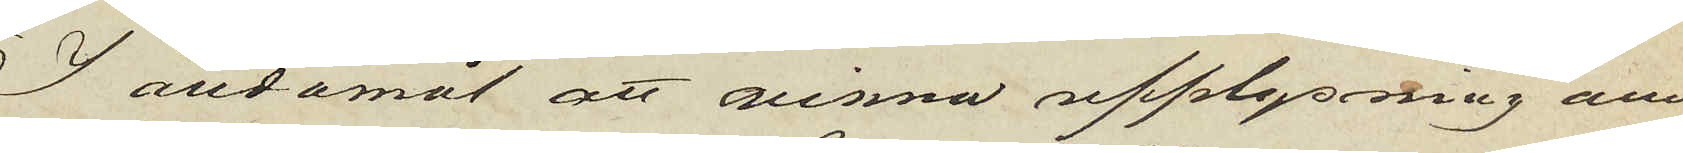I ändamål att vinna upplysning om
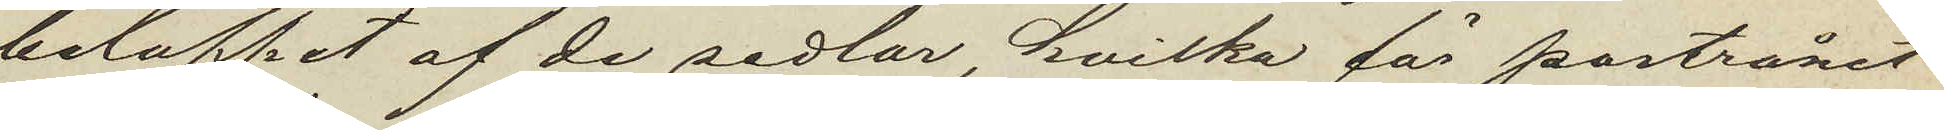beloppet af de sedlar, hvilka för postrånet
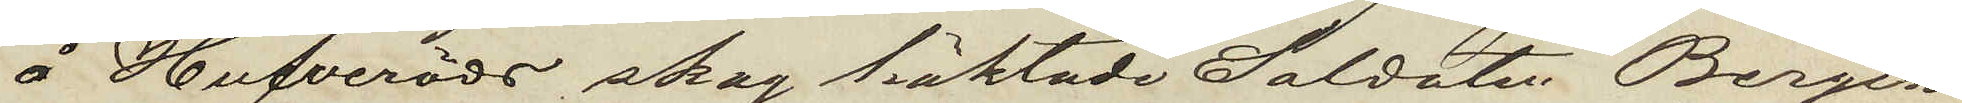å Hufveröds skog häktade Soldaten Bergin
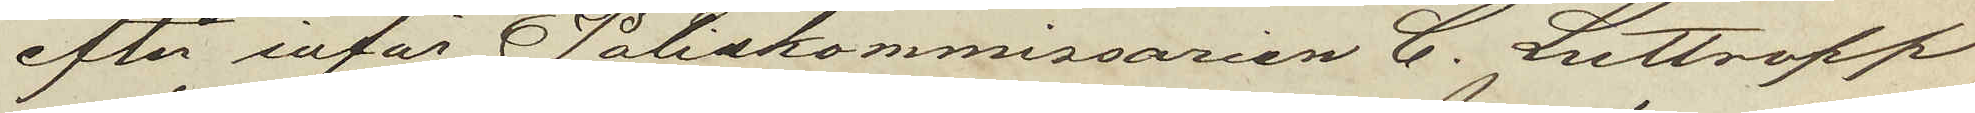efter inför Poliskommissarien C. Luttropp
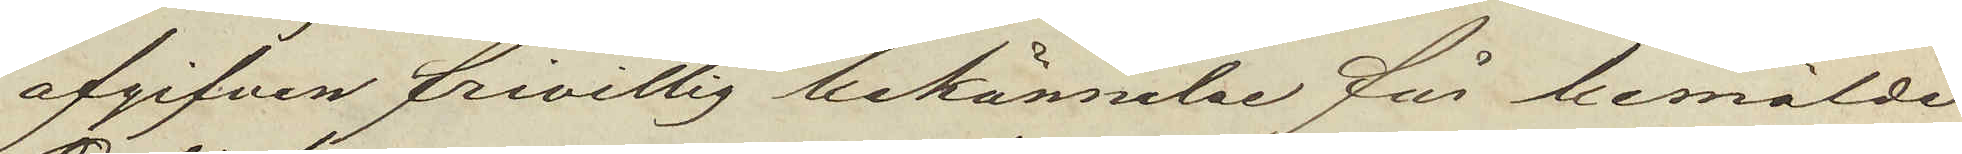afgifven frivillig bekännelse för bemälde
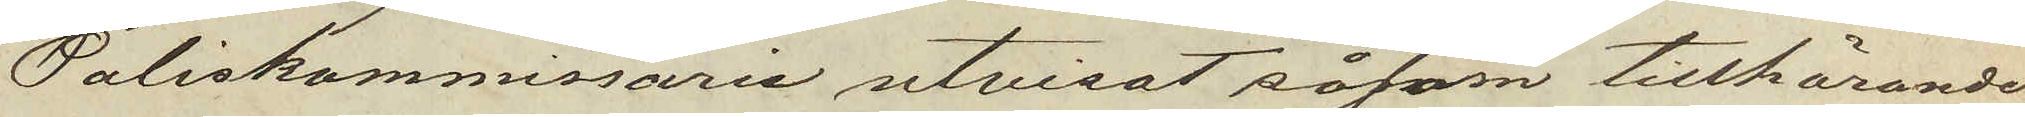Poliskommissarie utvisat såsom tillhörande
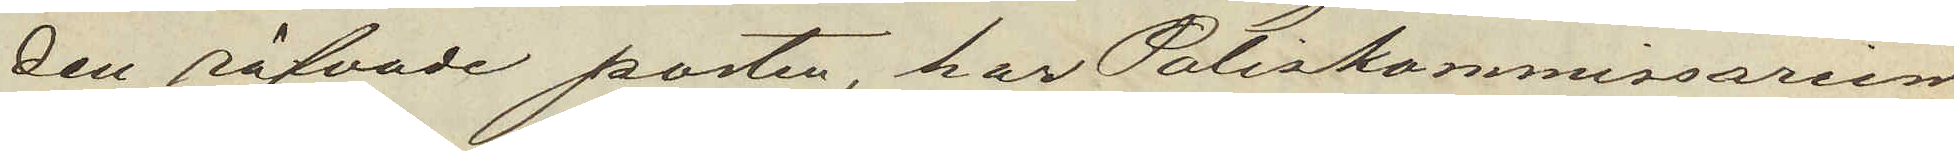den röfvade posten, har Poliskommissarien
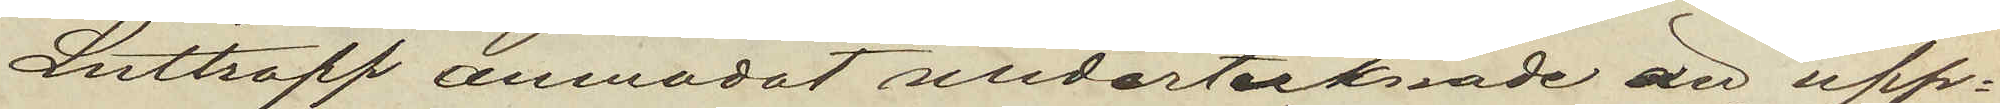Luttropp anmodat undertecknade att upp¬
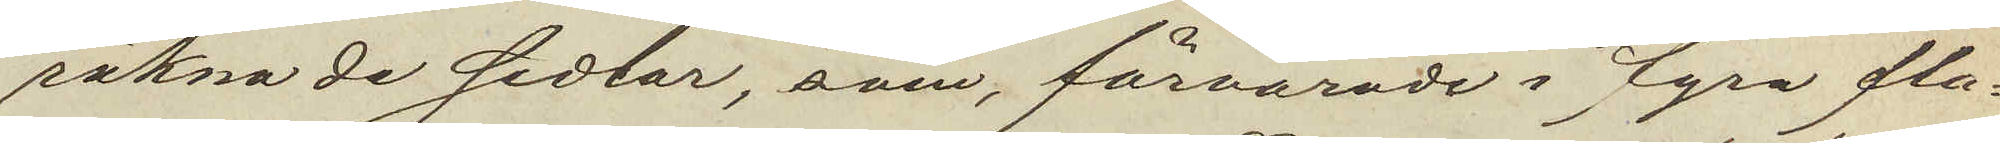räkna de sedlar, som förvarades i fyra fla¬
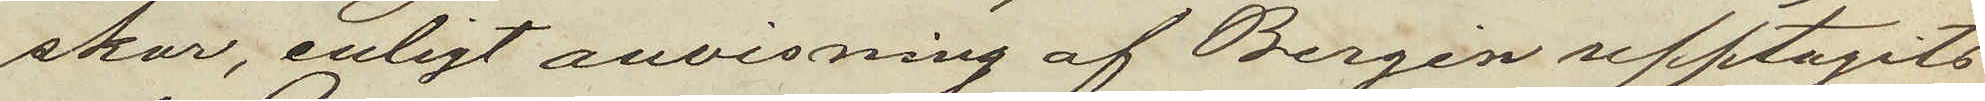skor, enligt anvisning af Bergin upptagits
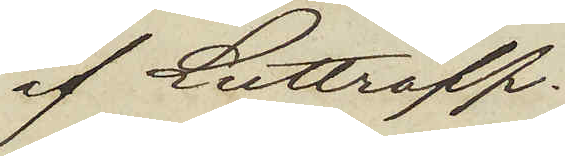af Luttropp.
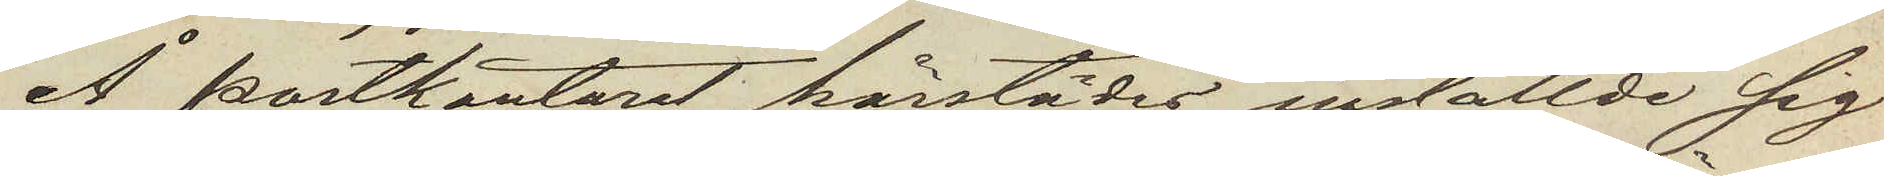Å postkontoret härstädes inställde sig
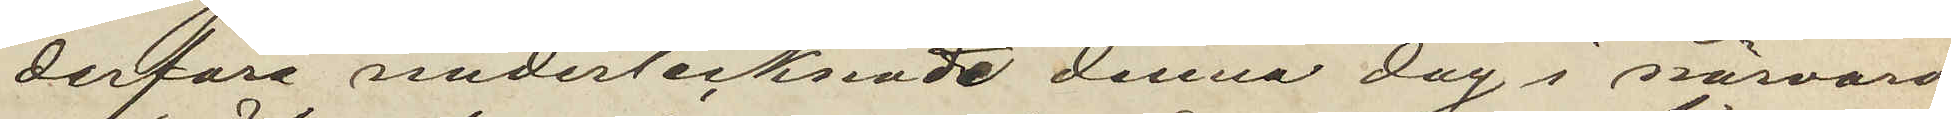derföre undertecknade denna dag i närvaro
